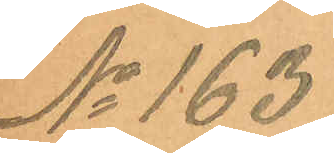No 163
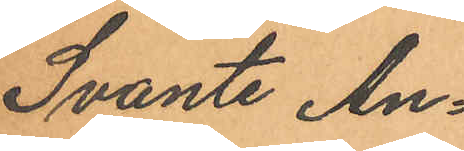Svante An¬
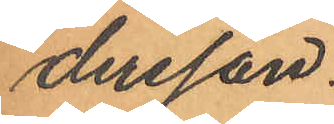dersson.
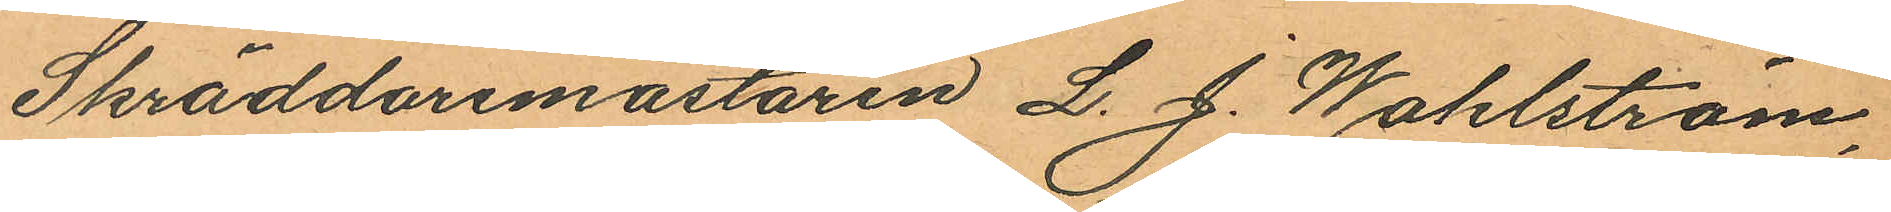Skräddaremästaren L. J. Wahlström,
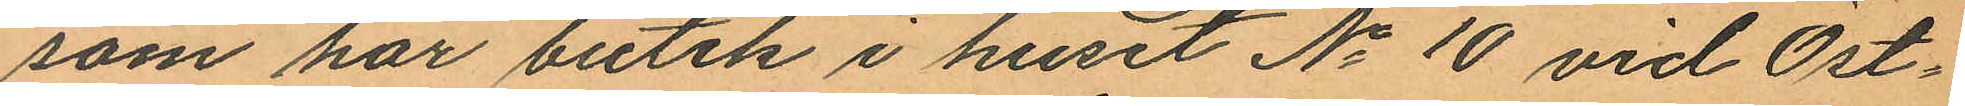som har butik i huset No 10 vid Öst¬
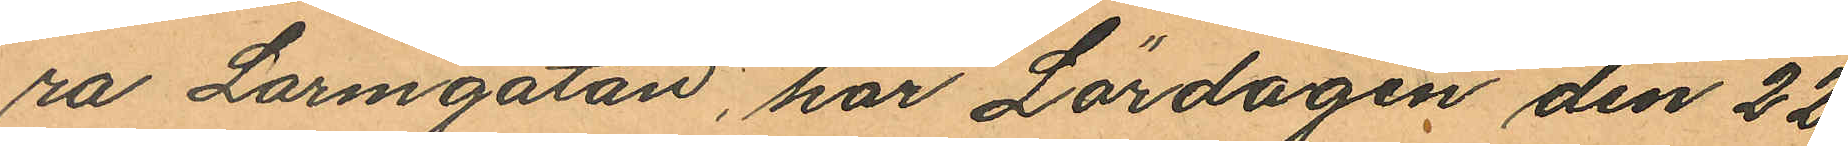ra Larmgatan, har Lördagen den 22
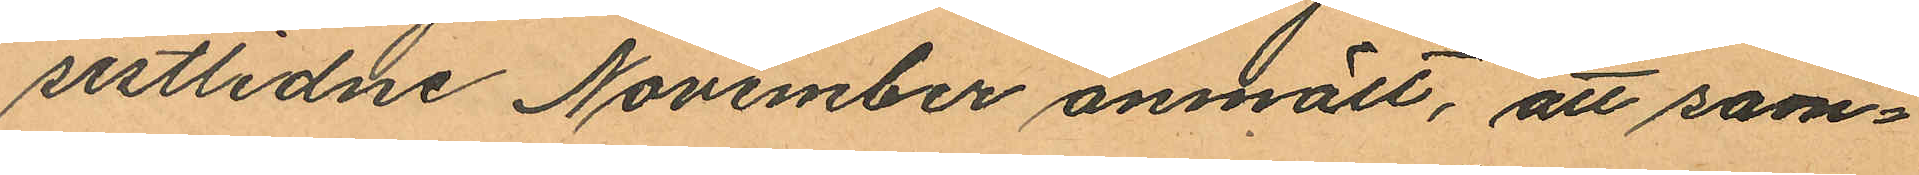sistlidne November anmält, att sam¬
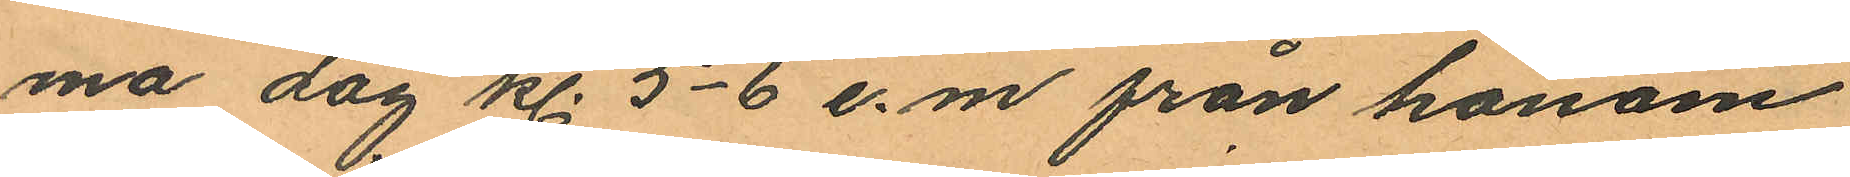ma dag kl. 5-6 e.m. från honom
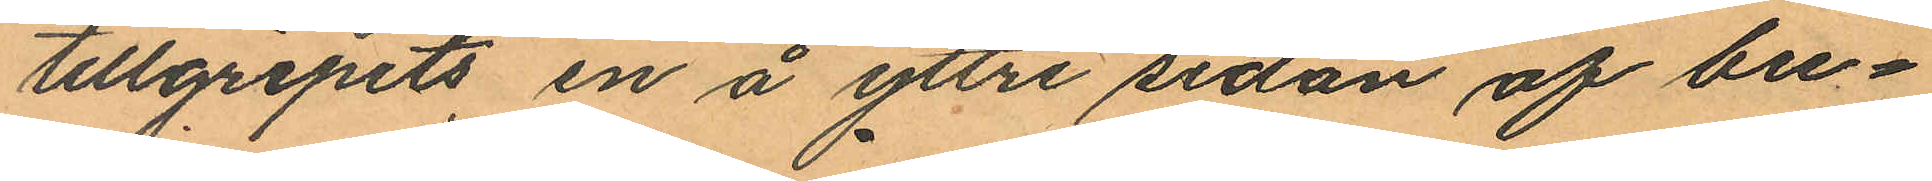tillgripits en å yttre sidan af bu¬
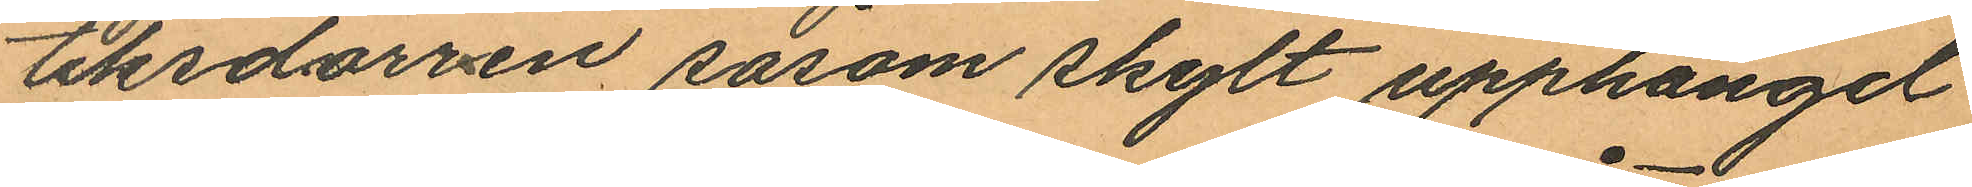tiksdörren såsom skylt upphängd
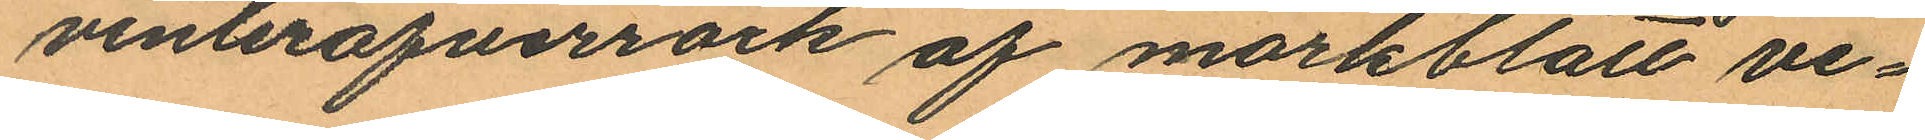vinteröfverrock af mörkblått ve¬
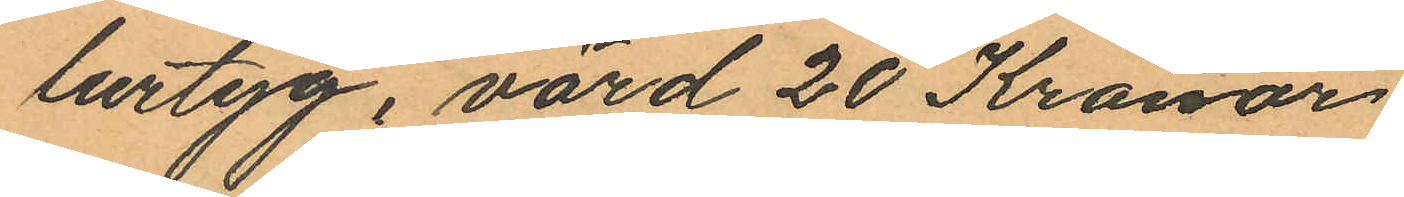lurtyg, värd 20 Kronor
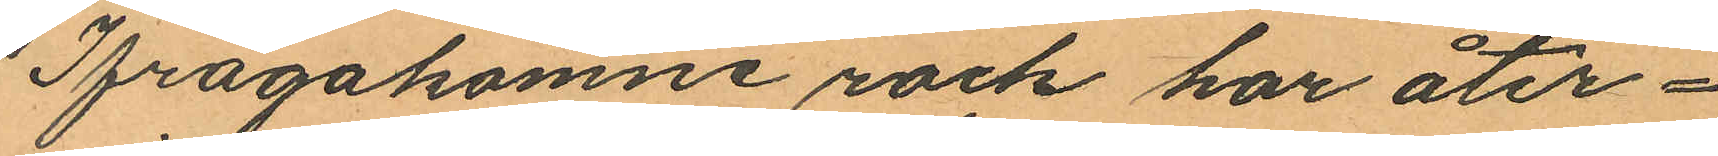Ifrågakomne rock har åter¬
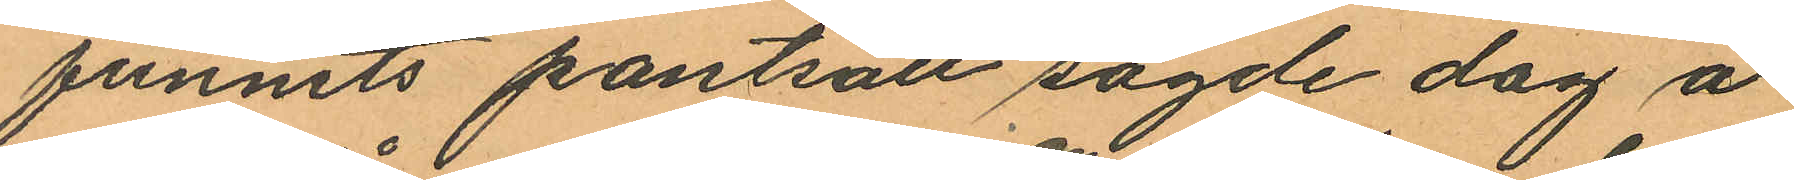funnits pantsatt sagde dag å
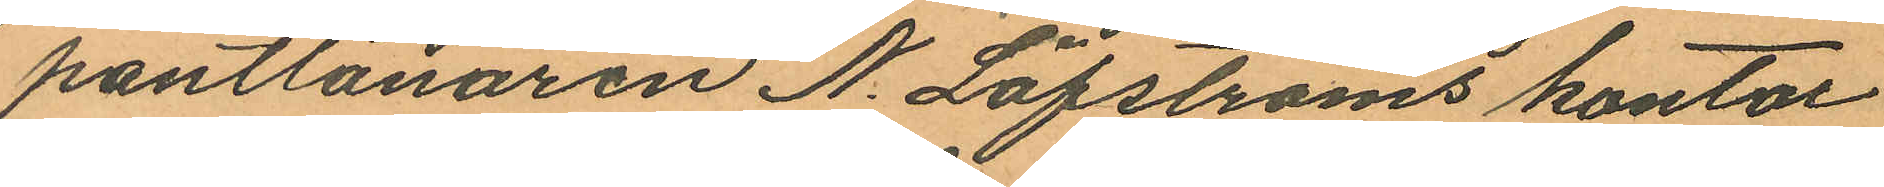pantlånaren N. Löfströms kontor
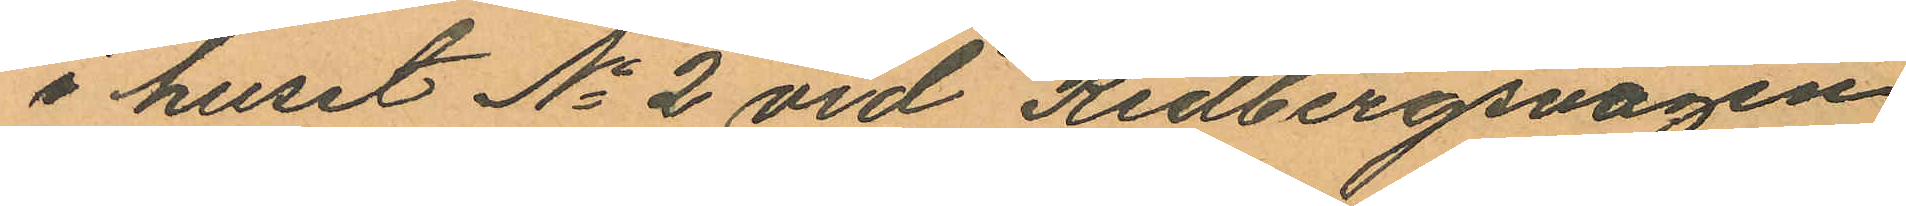i huset No 2 vid Redbergsvägen
